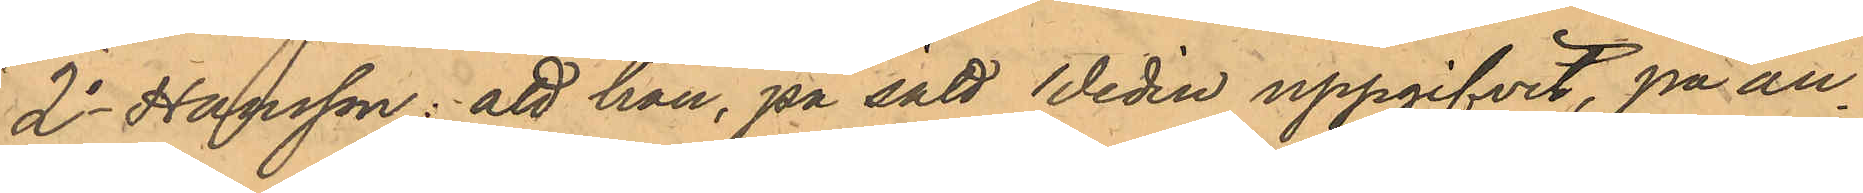2o Hansson: att han, på sätt Wedin uppgifvit, på an¬
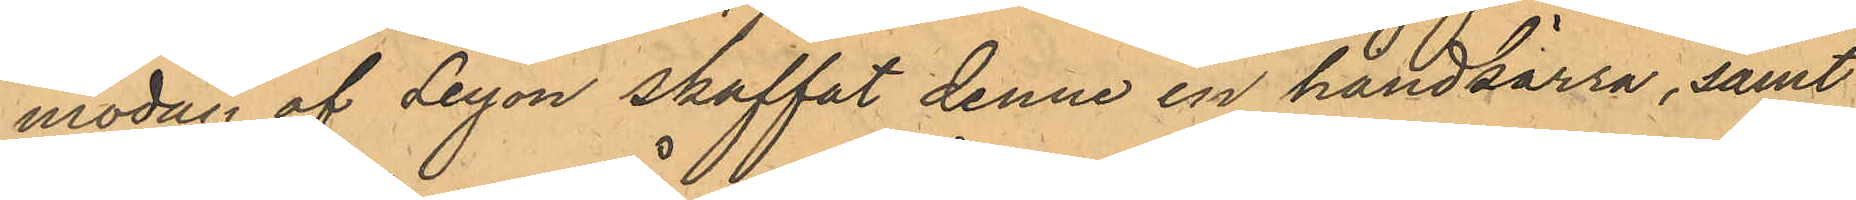modan af Leyon skaffat denne en handkärra, samt
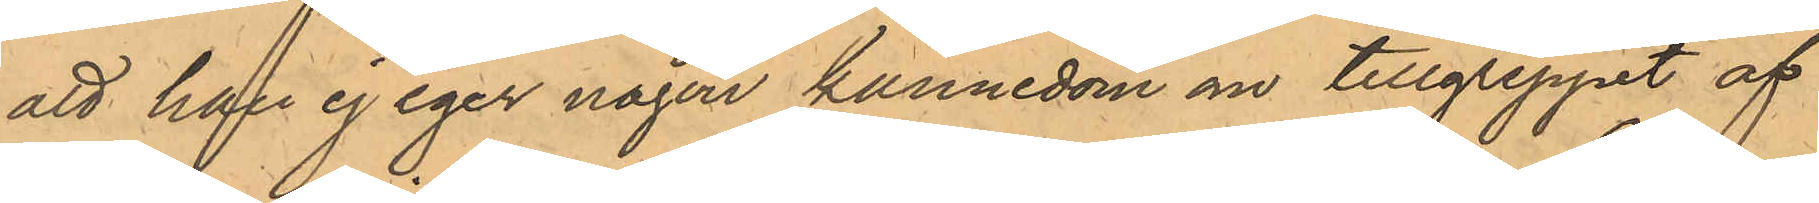att han ej eger någon kännedom om tillgreppet af
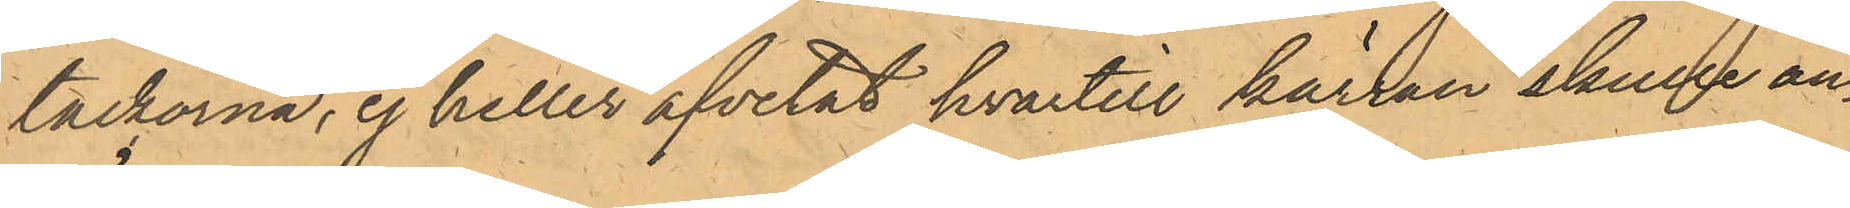tackorna, ej heller afvetat hvartill kärran skulle an¬
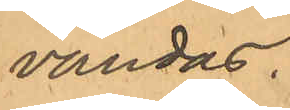vändas.
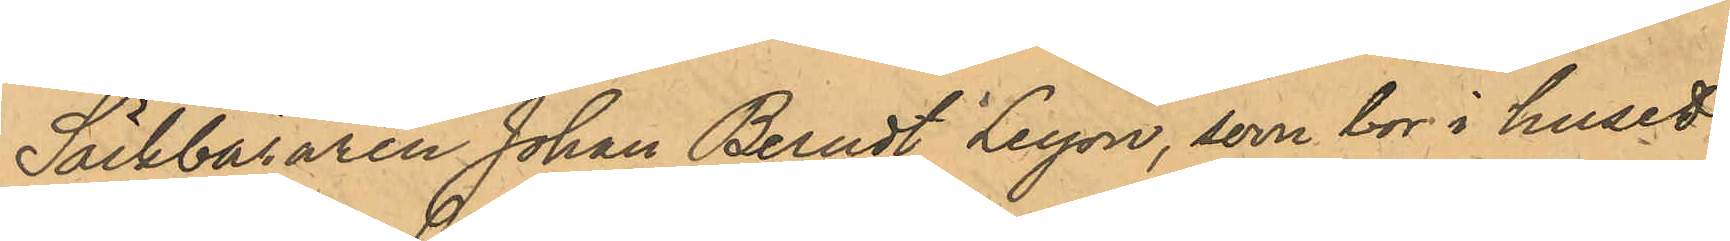Säckbäraren Johan Berndt Leyon, som bor i huset
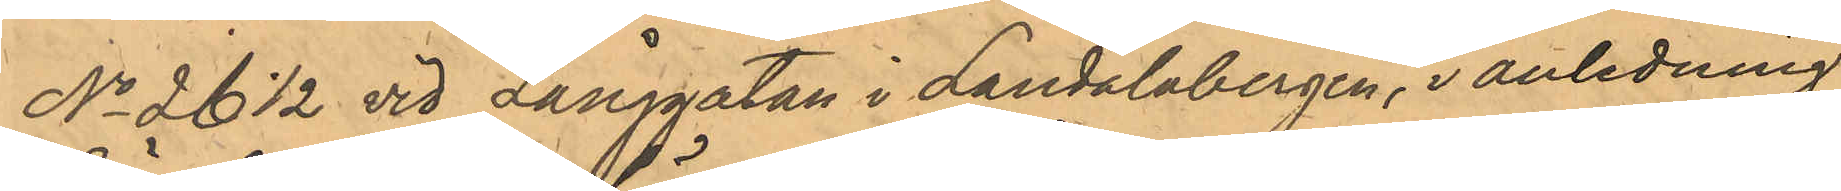No 26 1/2 vid Långgatan i Landalabergen, i anledning
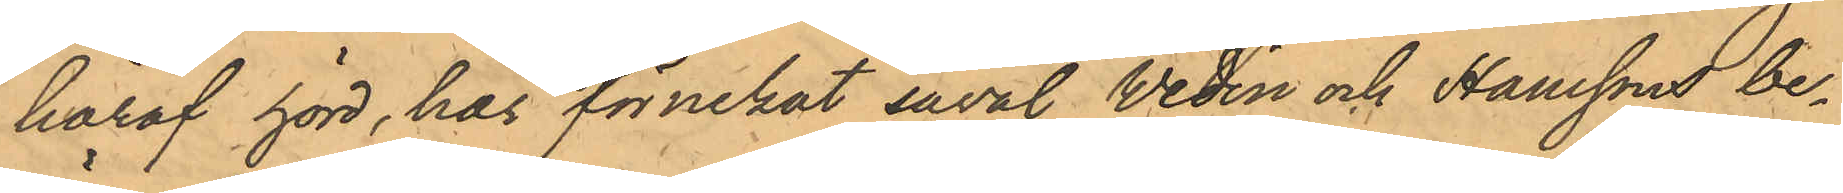häraf hörd, har förnekat såväl Wedin och Hansson be¬
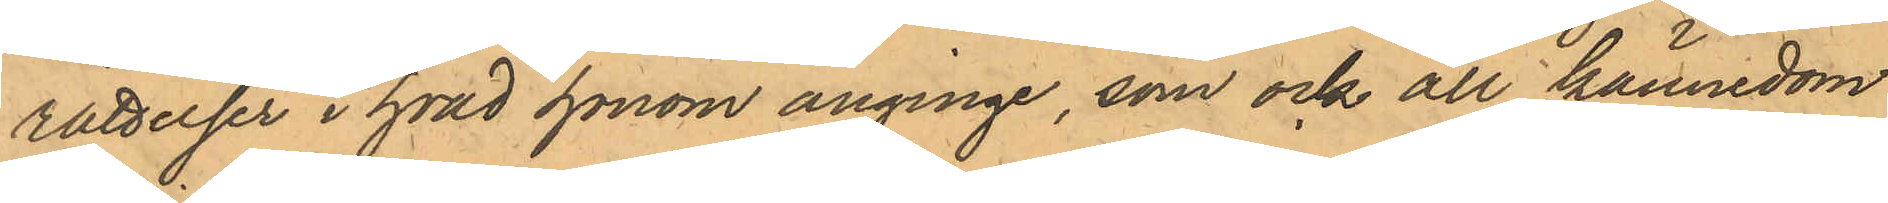rättelser i hvad honom anginge, som ock all kännedom
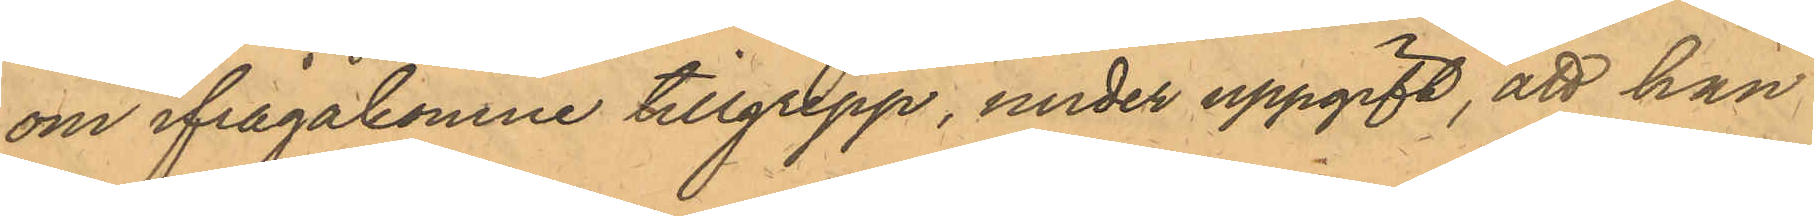om ifrågakomne tillgrepp, under uppgift, att han
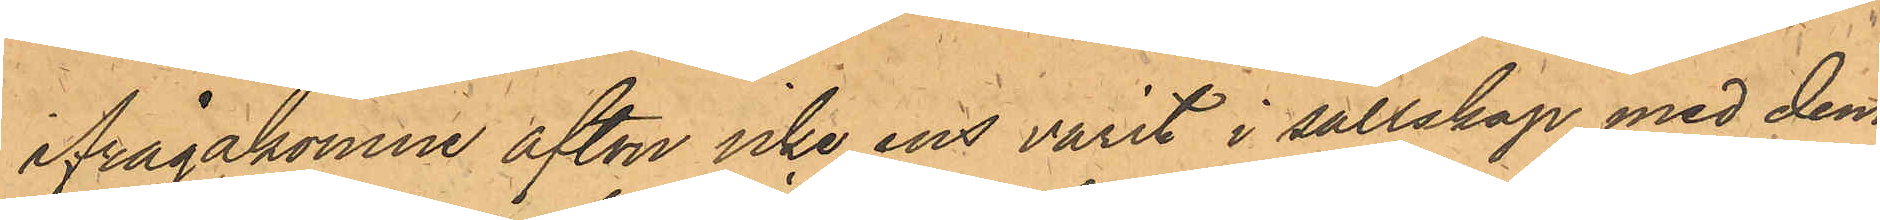ifrågakomne afton icke ens varit i sällskap med dem.
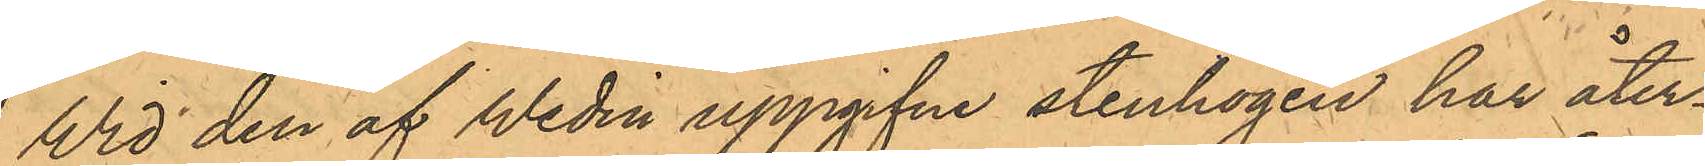Wid den af Wedin uppgifne stenhögen har åter¬
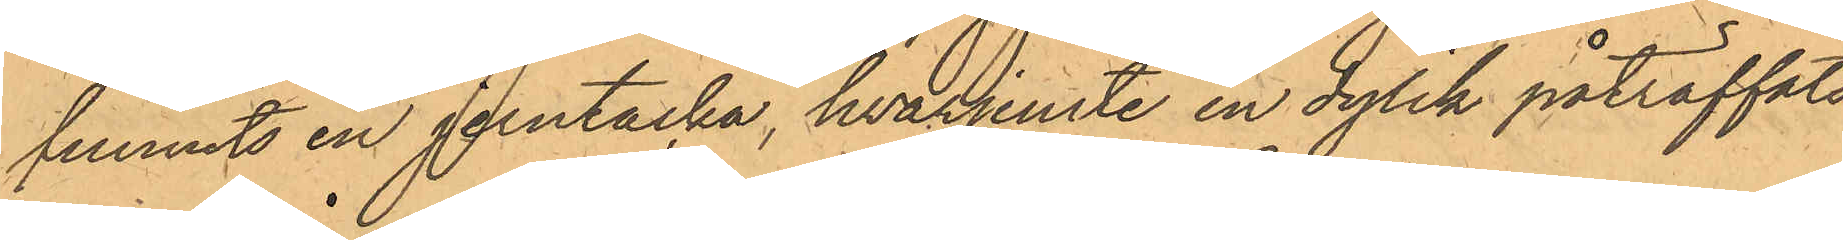funnits en jerntacka, hvarjemte en dylik påträffats
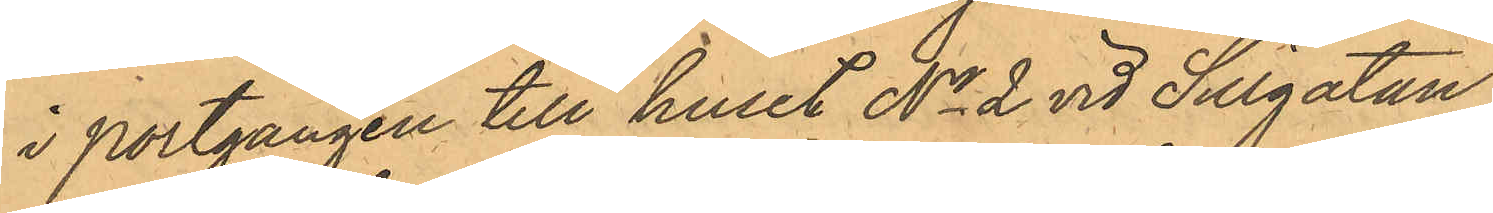i Portgången till huset No 2 vid Sillgatan.
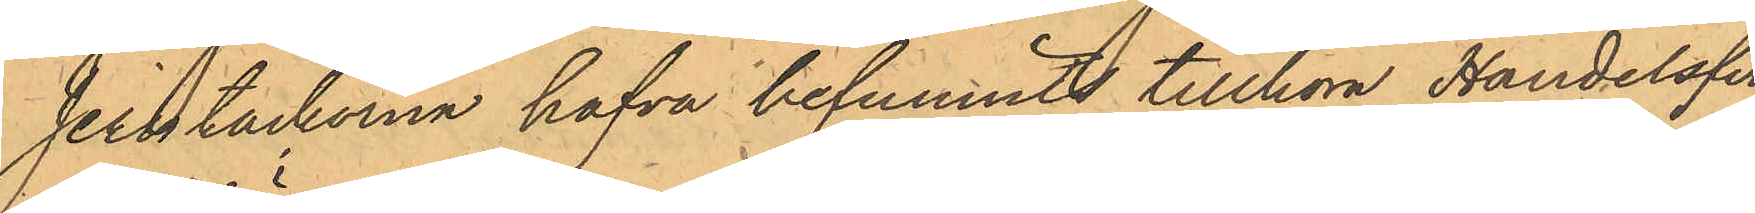Jerntackorna hafva befunnits tillhöra Handelsfir¬
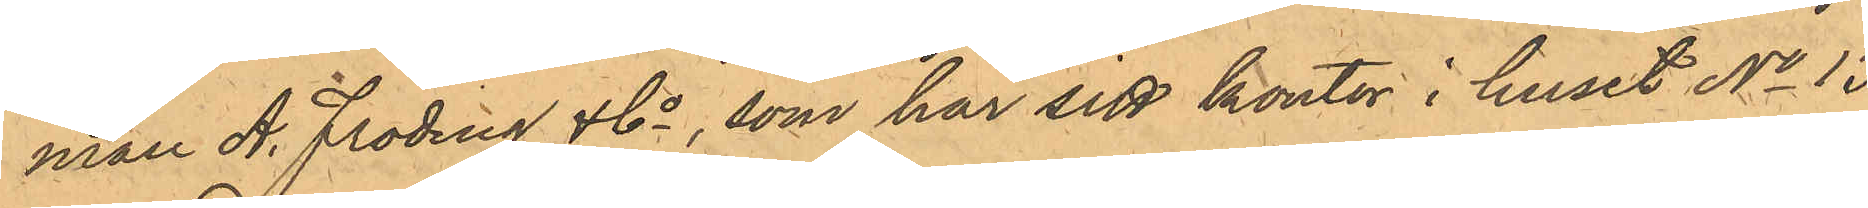man A. Fröding & Co, som har sitt kontor i huset No 13
